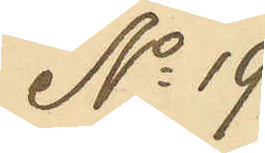No 19
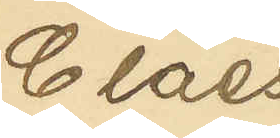Claes
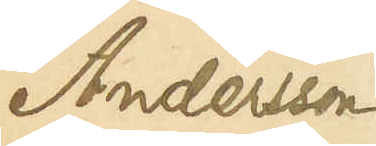Andersson
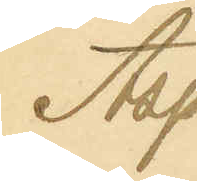Asp
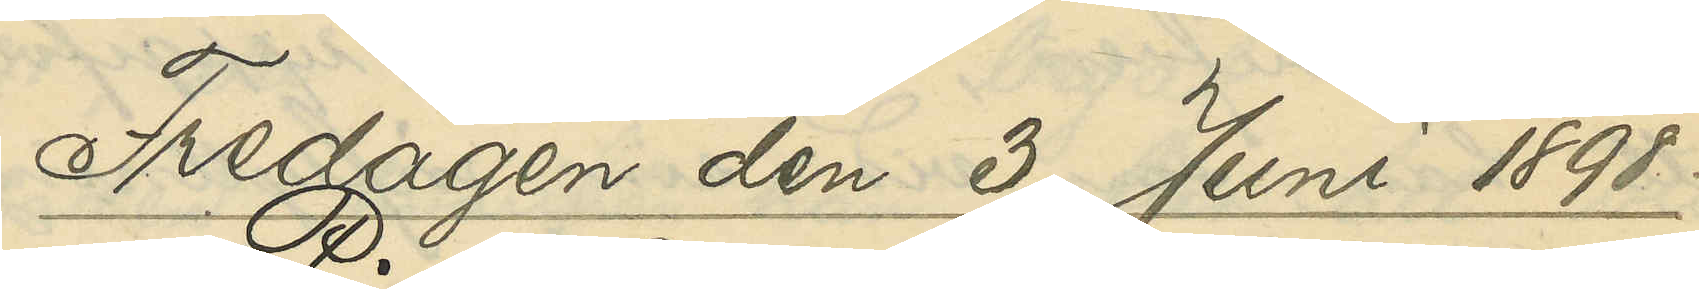Fredagen den 3 Juni 1898.
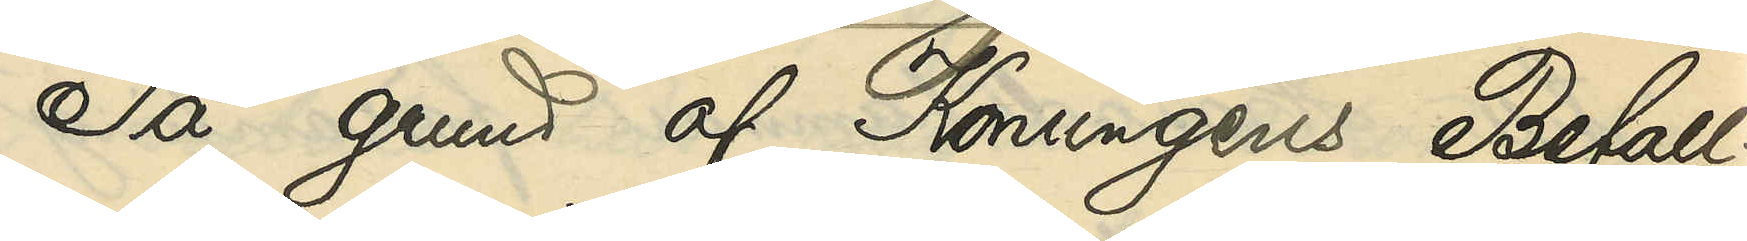På grund af Konungens Befall¬
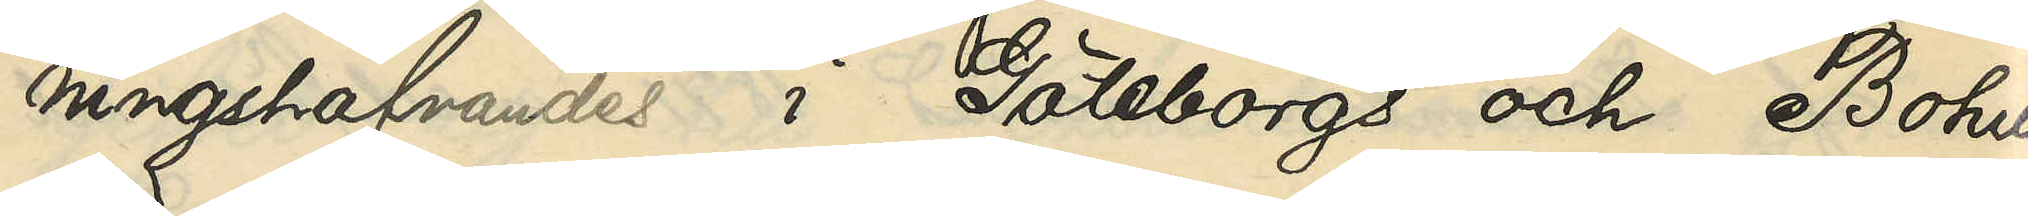ningshafvandes i Göteborgs och Bohus
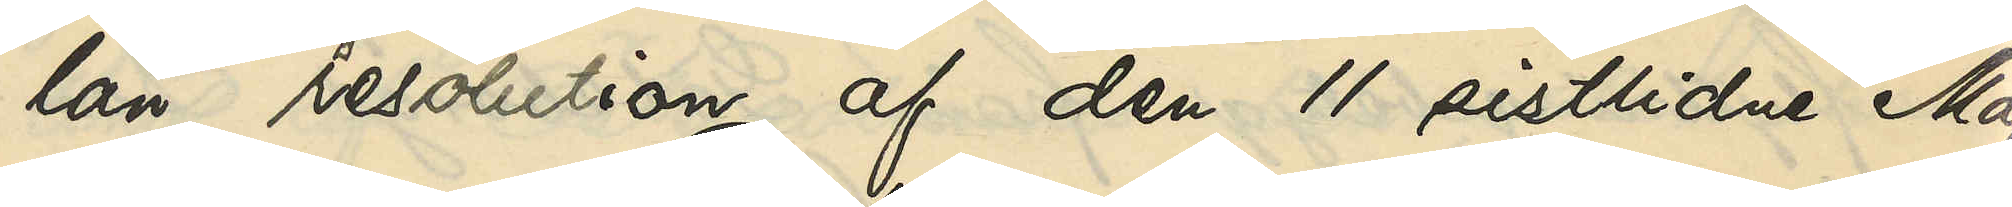län resolution af den 11 sistlidne Maj,
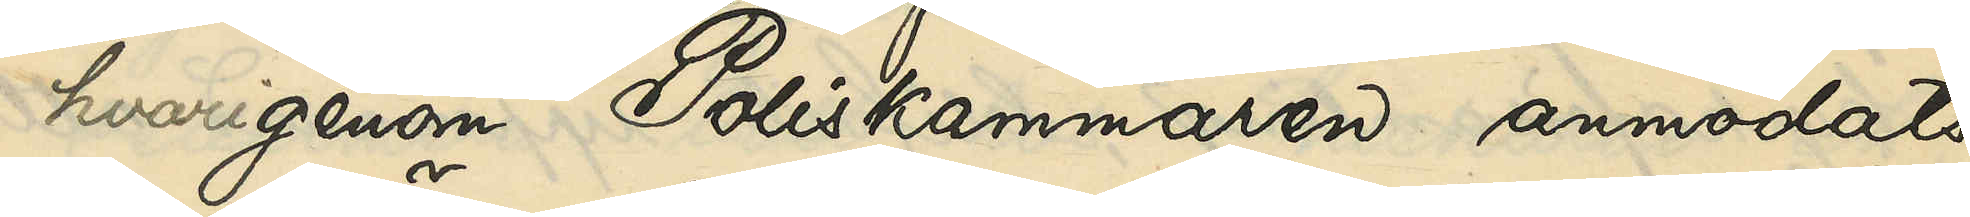hvarigenom Poliskammaren anmodats
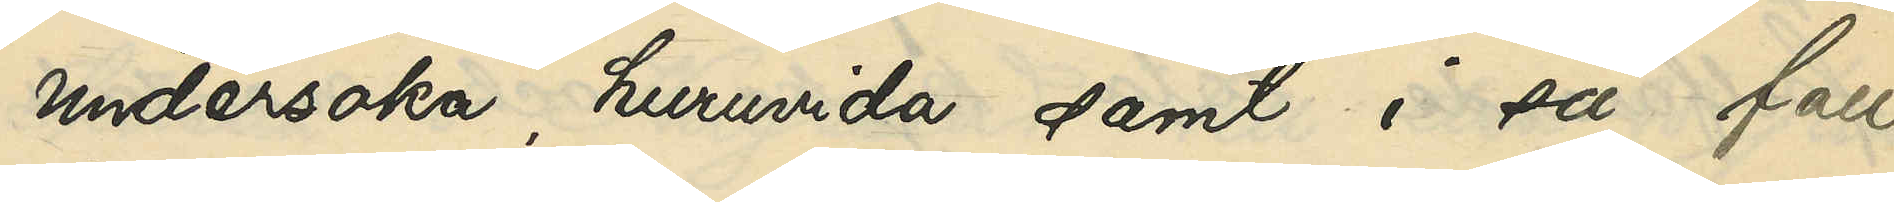undersöka, huruvida samt i så fall
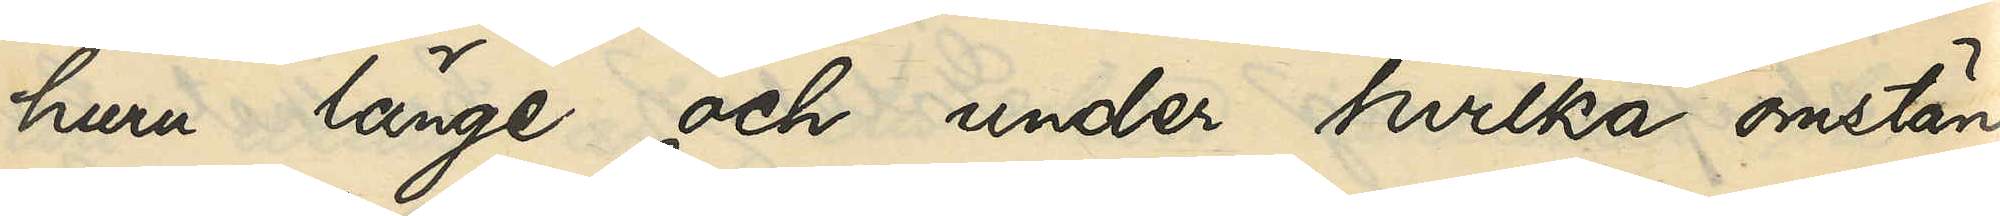huru länge och under hvilka omstän¬
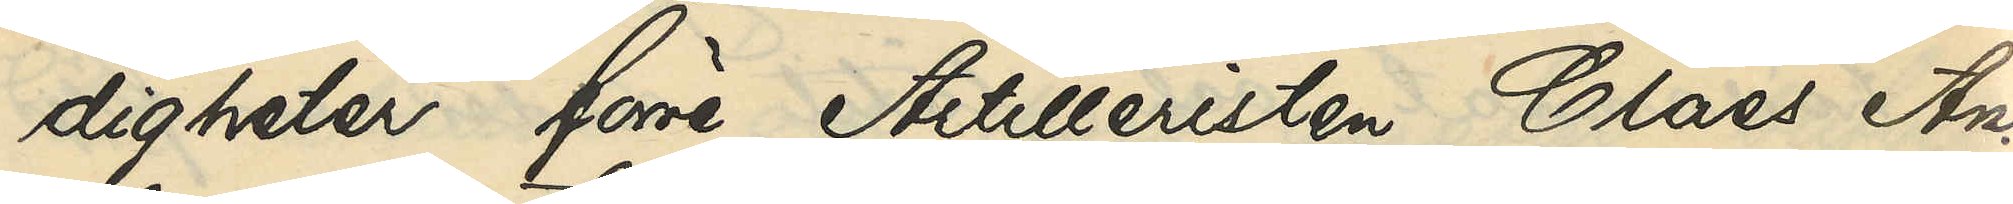digheter förre Artilleristen Claes An¬
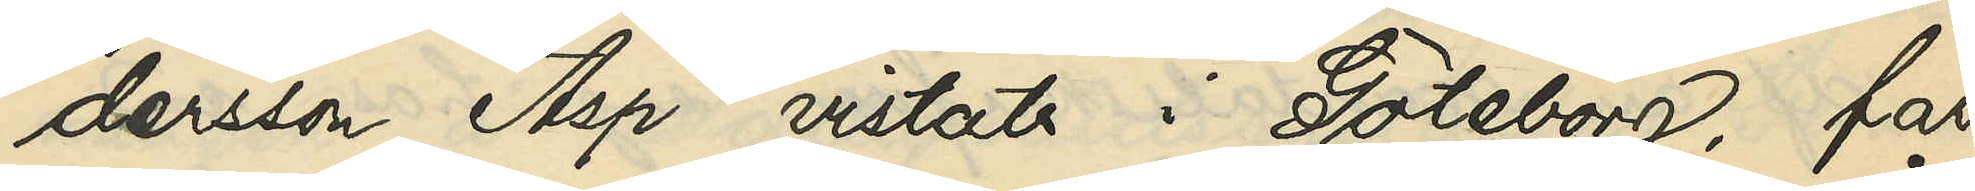dersson Asp vistats i Göteborg, får
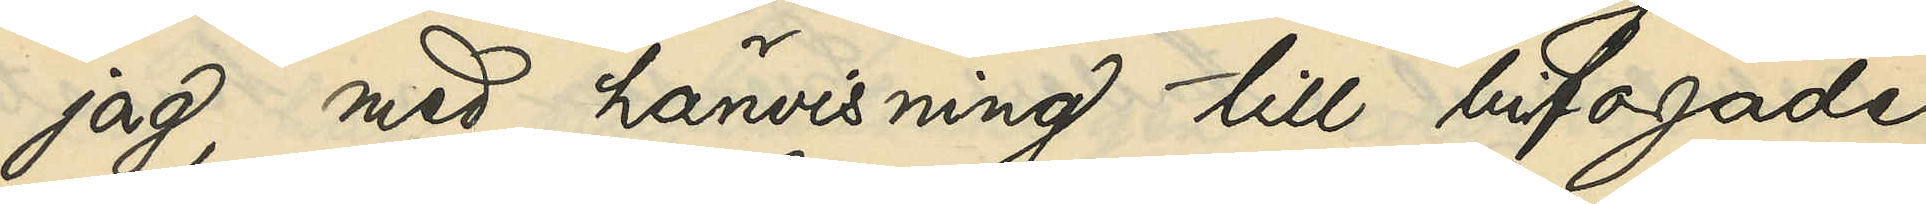jag, med hänvisning till bifogade
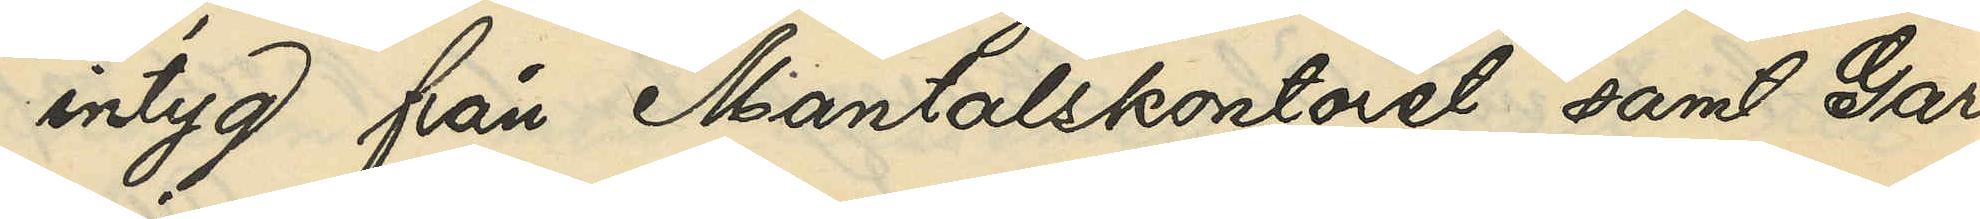intyg från Mantalskontoret samt Gar¬
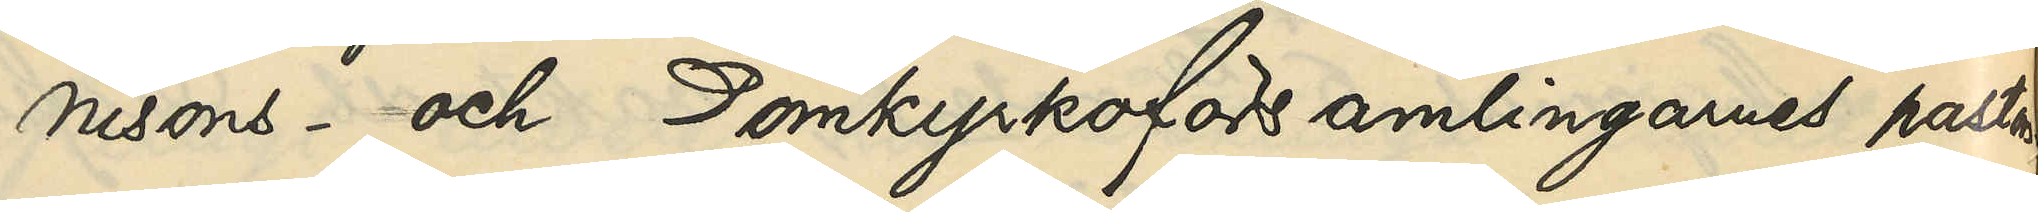nisons- och Domkyrkoförsamlingarnes pastors¬
